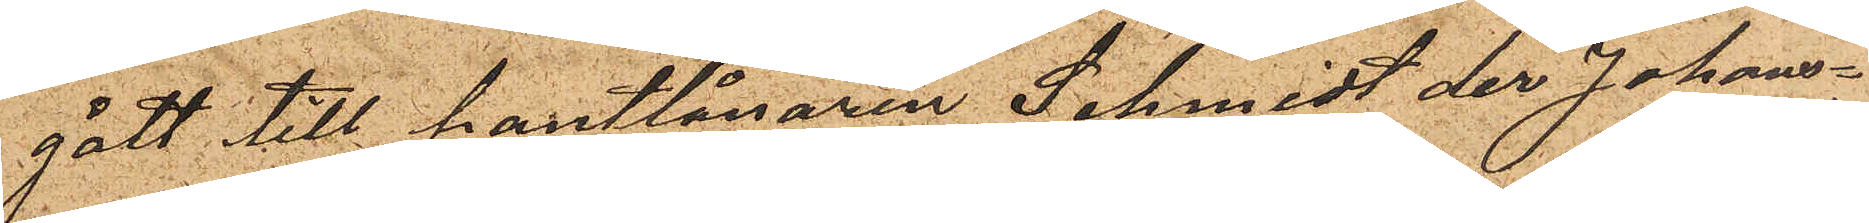gått till pantlånaren Schmidt der Johans¬
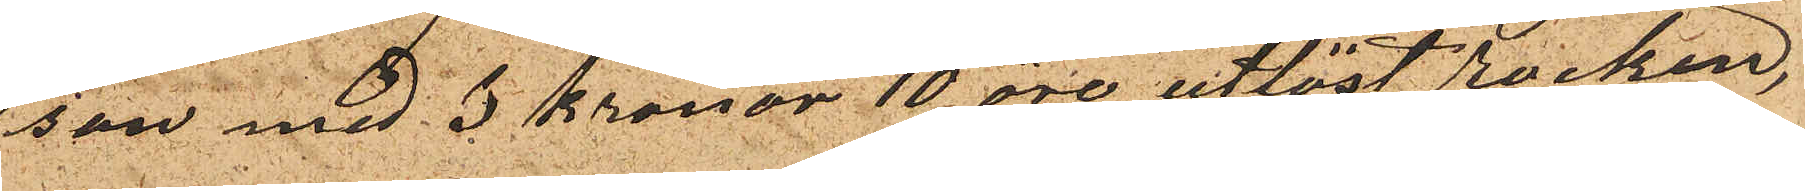son med 3 kronor 10 öre utlöst rocken,
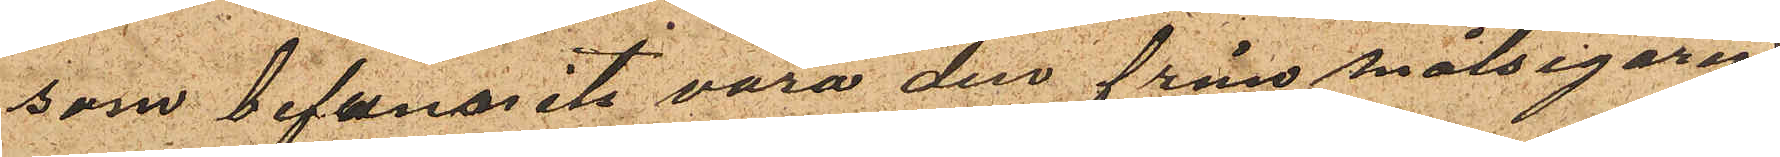som befunnits vara den från målsegaren
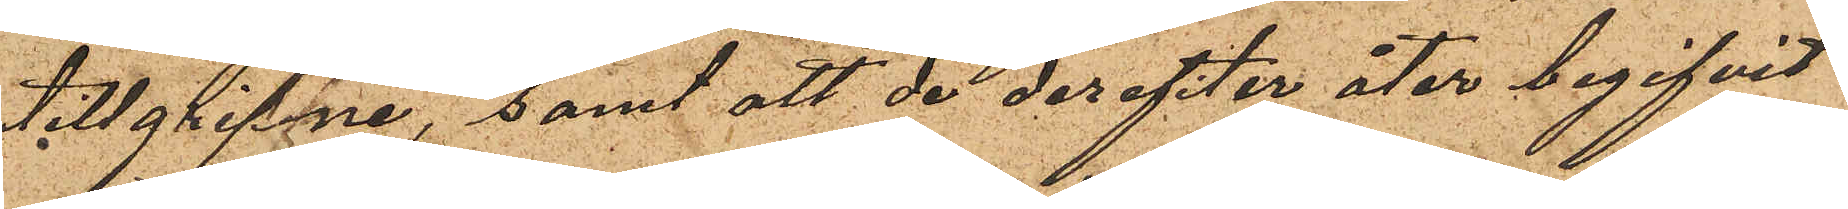tillgripne, samt att de derefter åter begifvit
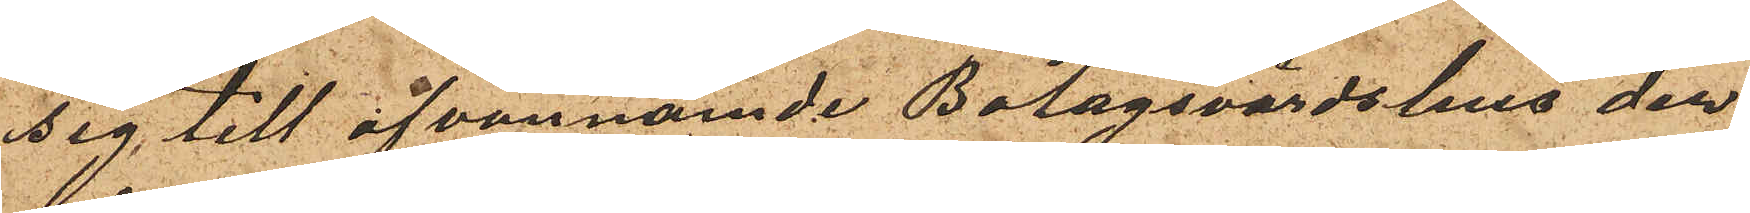sig till ofvannämnde Bolagsvärdshus der
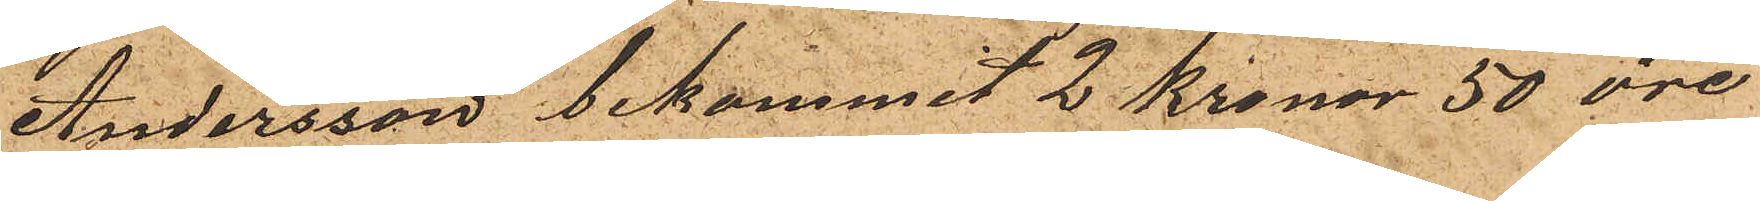Andersson bekommit 2 Kronor 50 öre
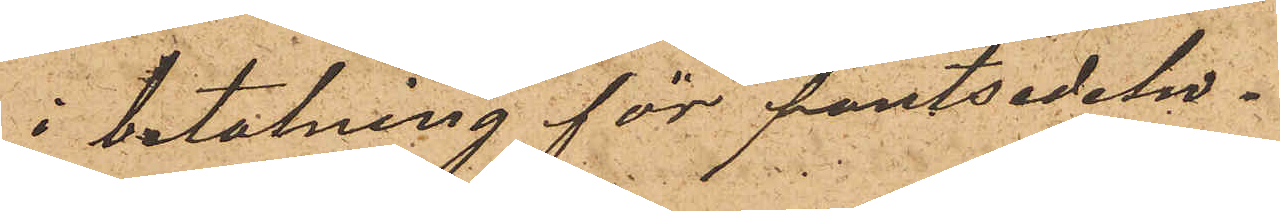i betalning för pantsedeln.
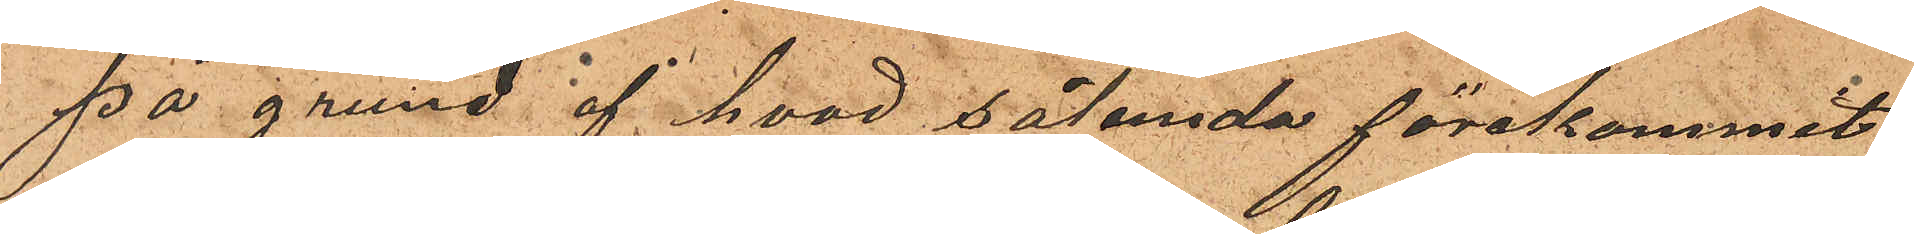På grund af hvad sålunda förekommit
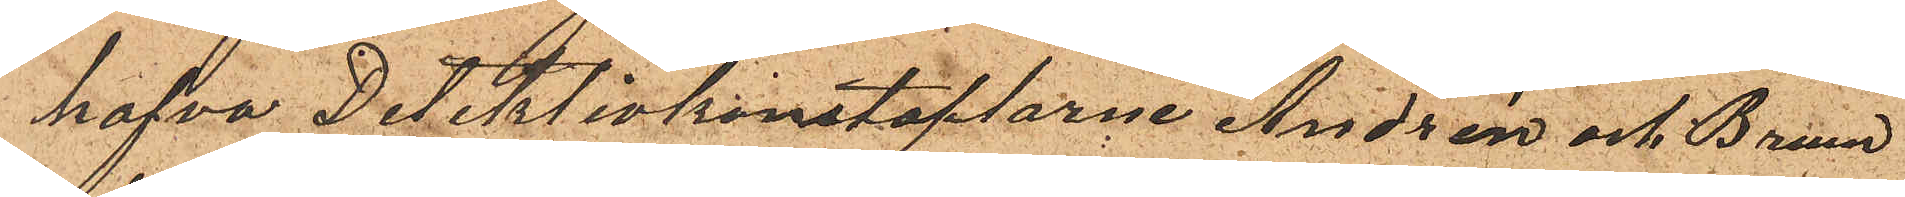hafva Detektivkonstaplarne Andrén och Bruun
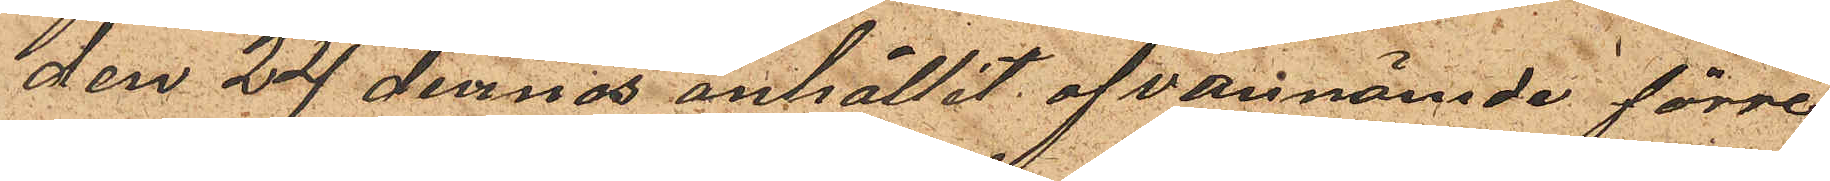den 24 dennes anhållit ofvannämnde förre
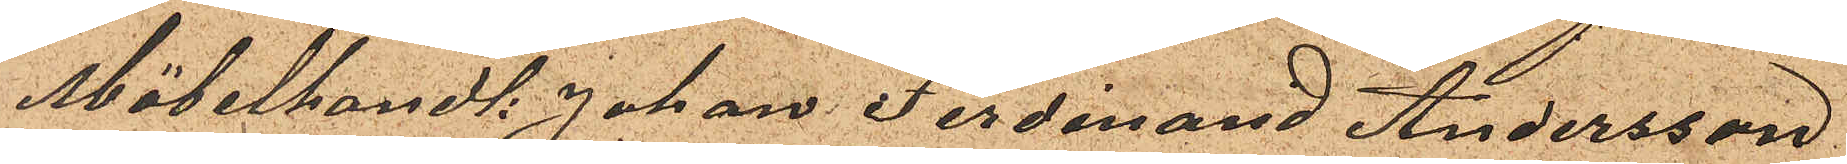Möbelhandl: Johan Ferdinand Andersson
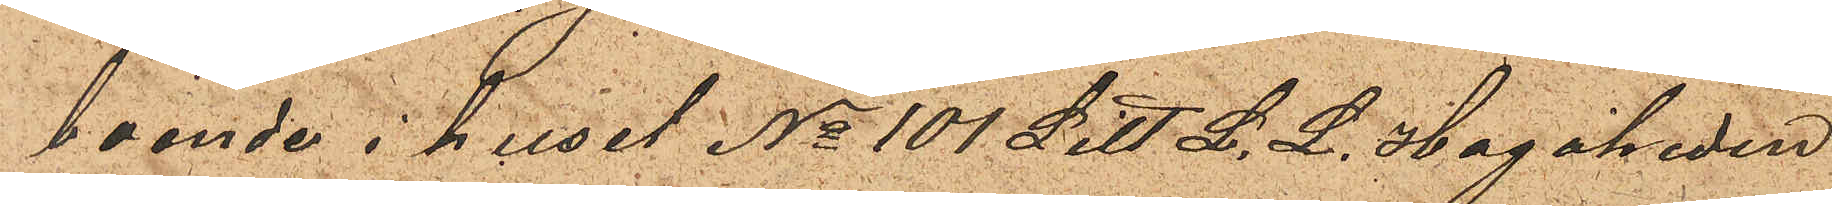boende i huset No 101 Litt. L. L. Hagaheden
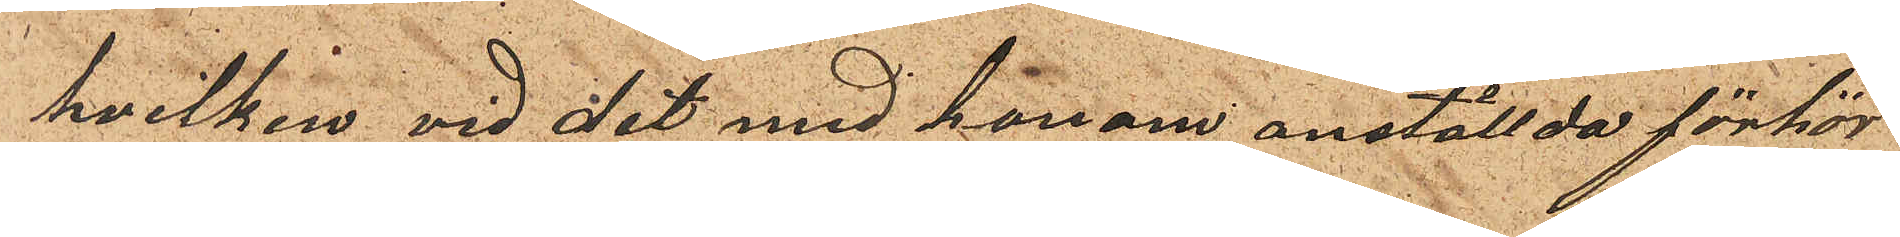hvilken vid det med honom anställda förhör
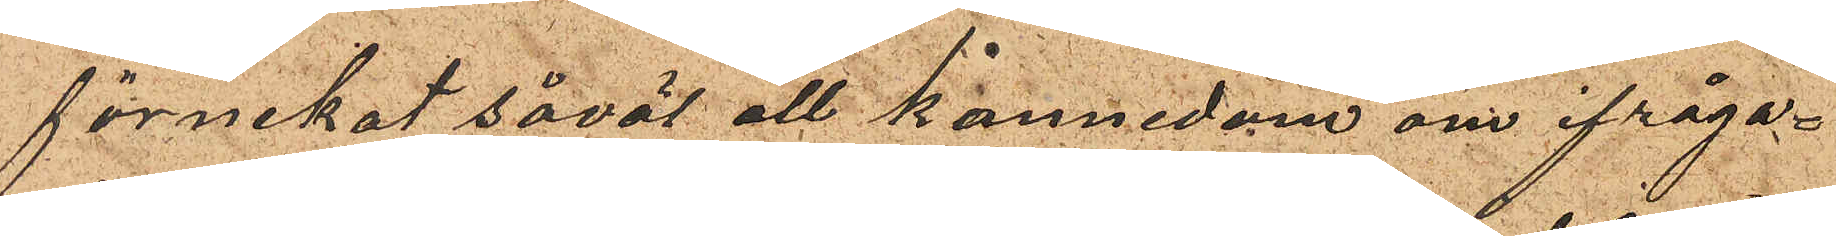förnekat såväl all kännedom om ifråga¬
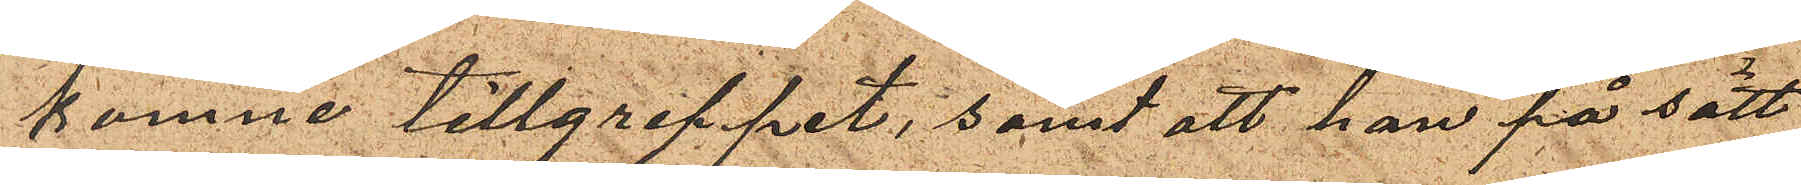komne tillgreppet, samt att han på sätt
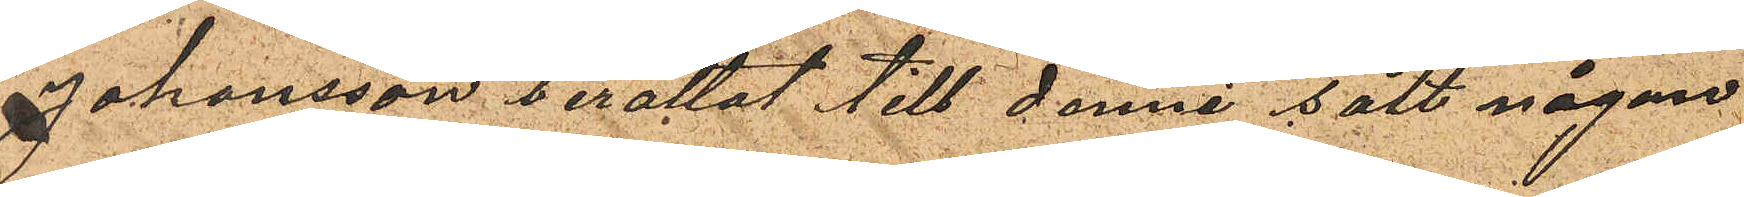Johansson berättat till denne sålt någon
